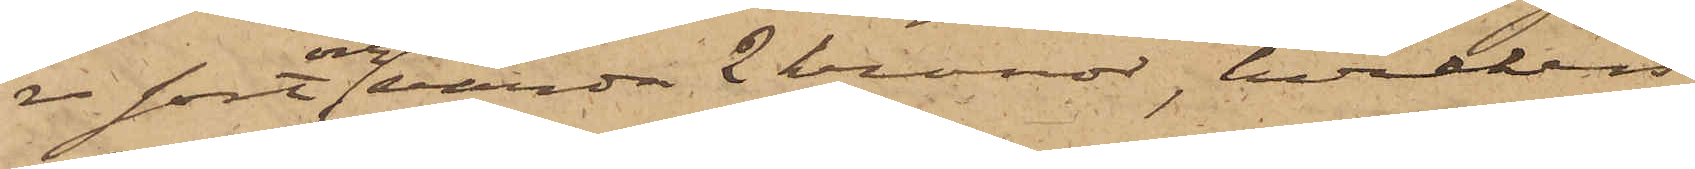re sort och värda 2 kronor, hvilken
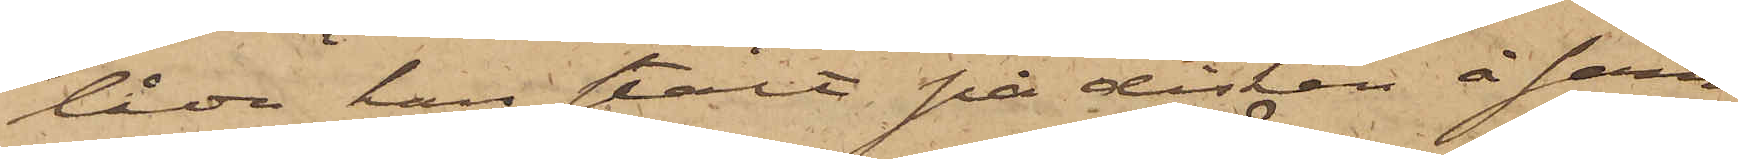låda han stält på disken å sam¬
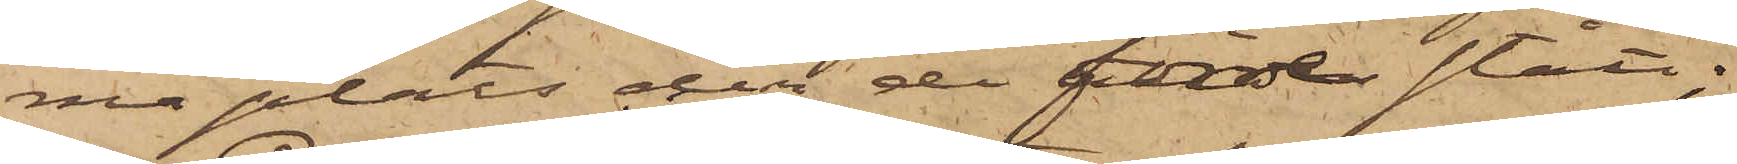ma plats der den förre stått;
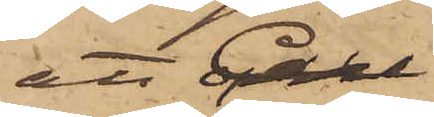att Carl
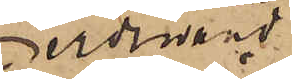Ferdinand
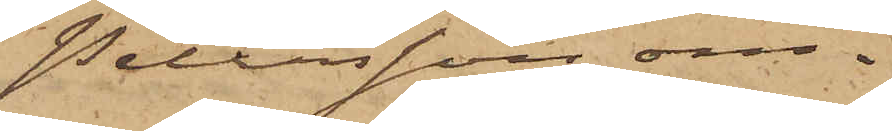Petersson om¬
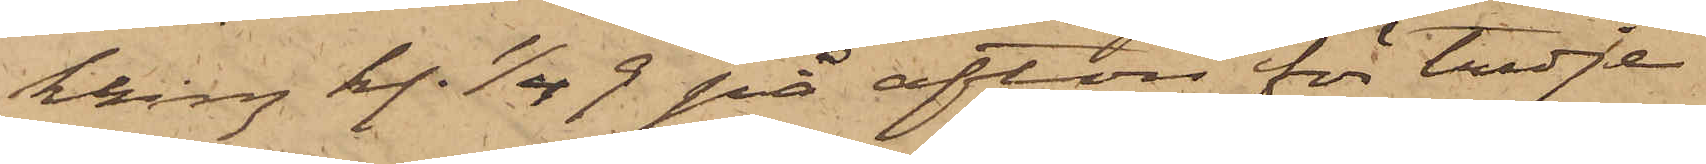kring kl. 1/4 9 på afton för tredje
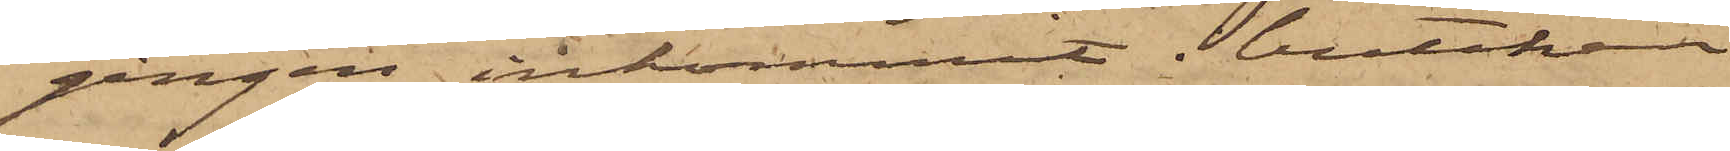gången inkommit butiken
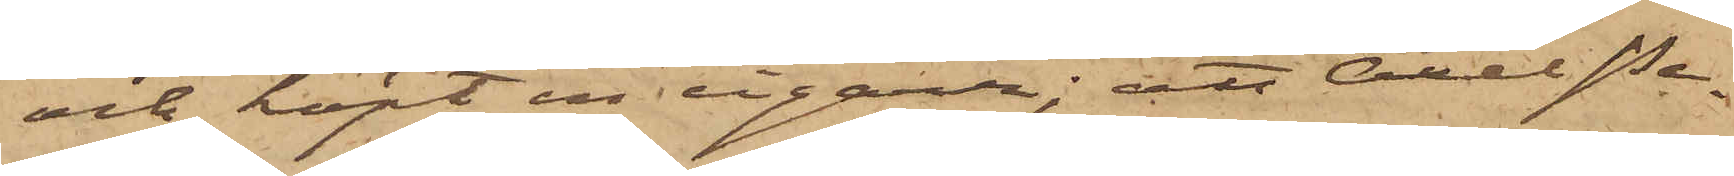och köpt en cigarr; att Axel Pe¬
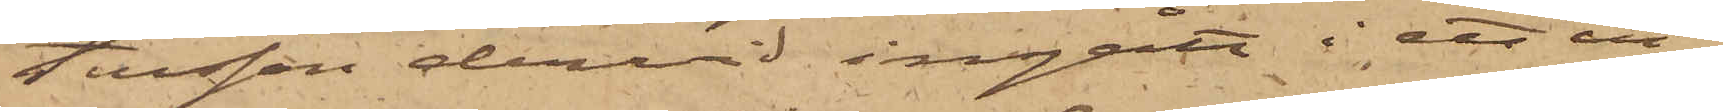tersson dervid ingått i ett in¬
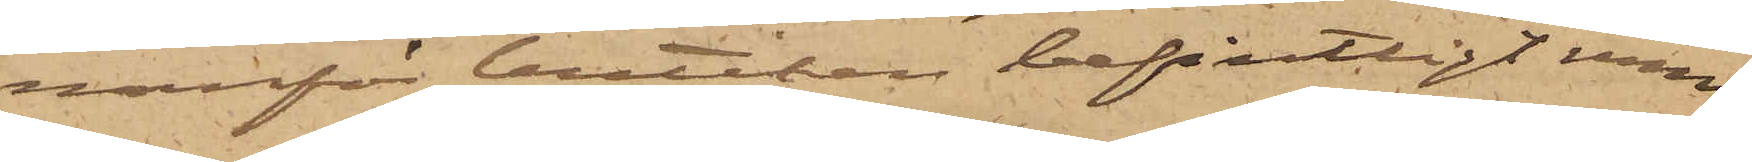nanför butiken befintligt rum
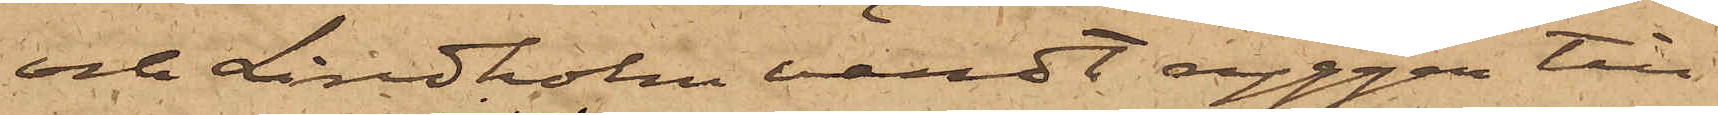och Lindholm vändt ryggen till
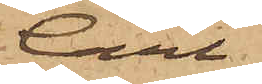Carl
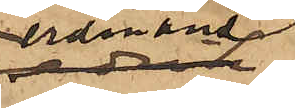Ferdinand
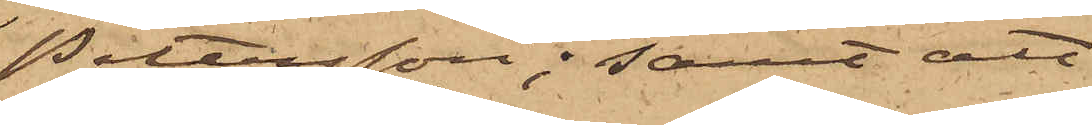Pettersson; samt att
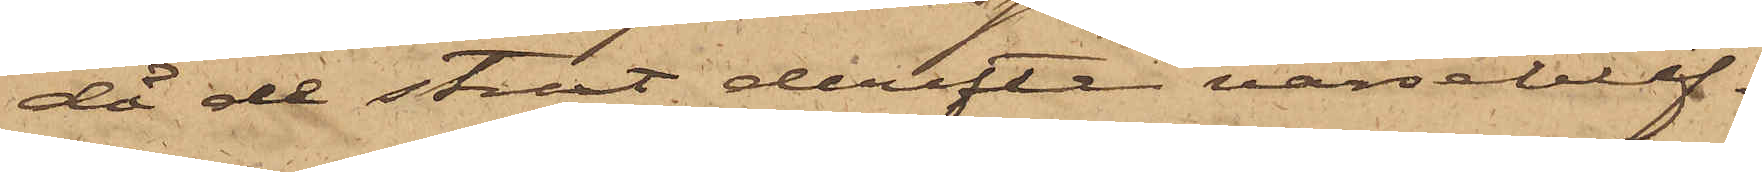då de straxt derefter varseblif¬
